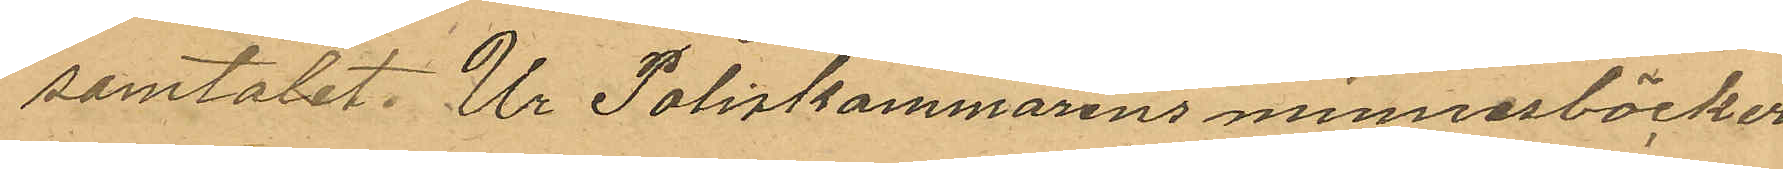samtalet. Ur Poliskammarens minnesböcker
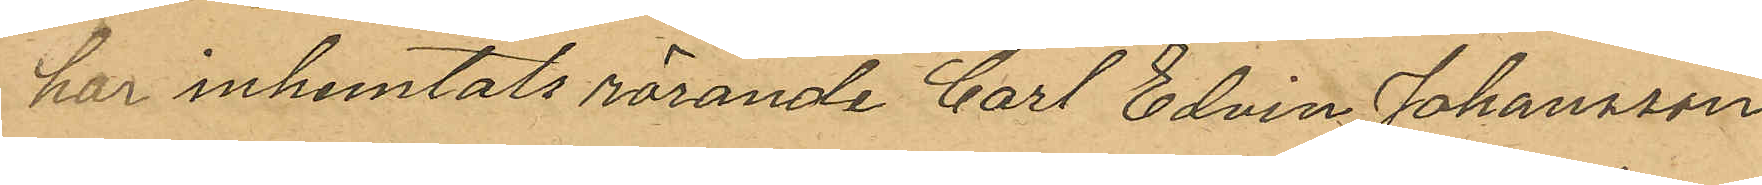har inhemtats rörande Carl Edvin Johansson
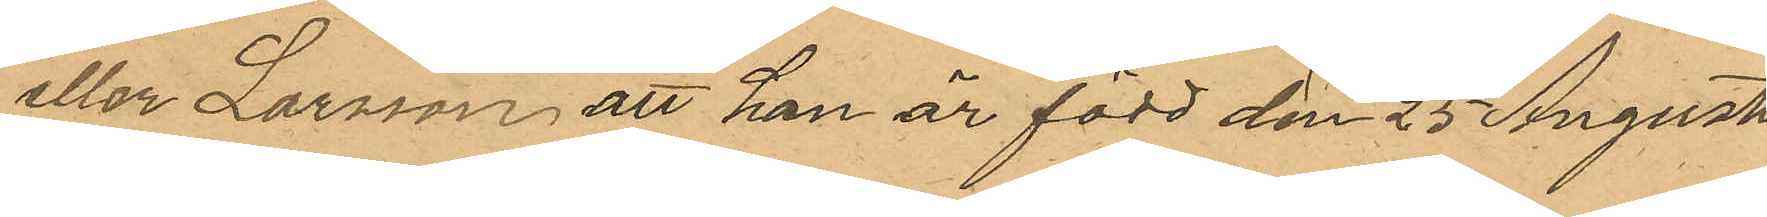eller Larsson, att han är född den 25 Augusti
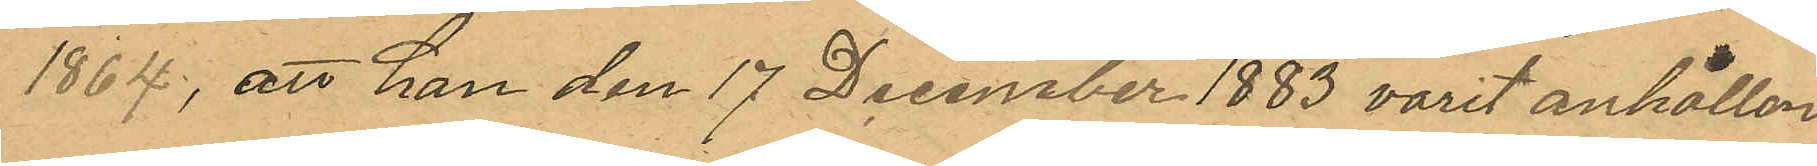1864; att han den 17 December 1883 varit anhållen
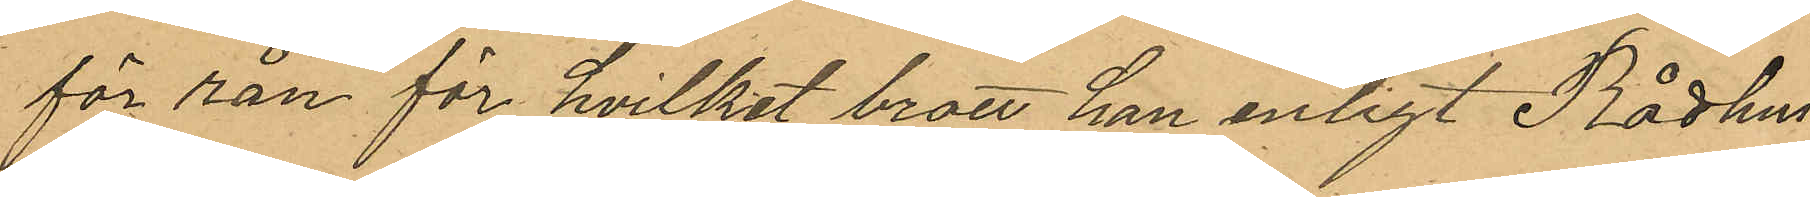för rån för hvilket brott han enligt Rådhus¬
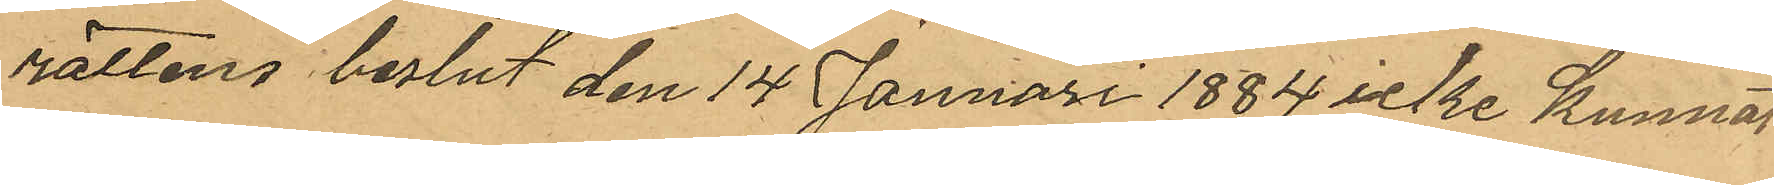rättens beslut den 14 Januari 1884 icke kunnat
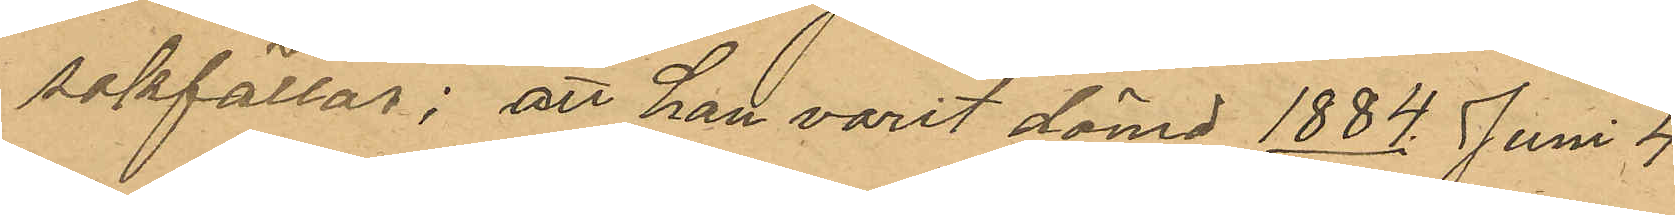sakfällas; att han varit dömd 1884 Juni 4
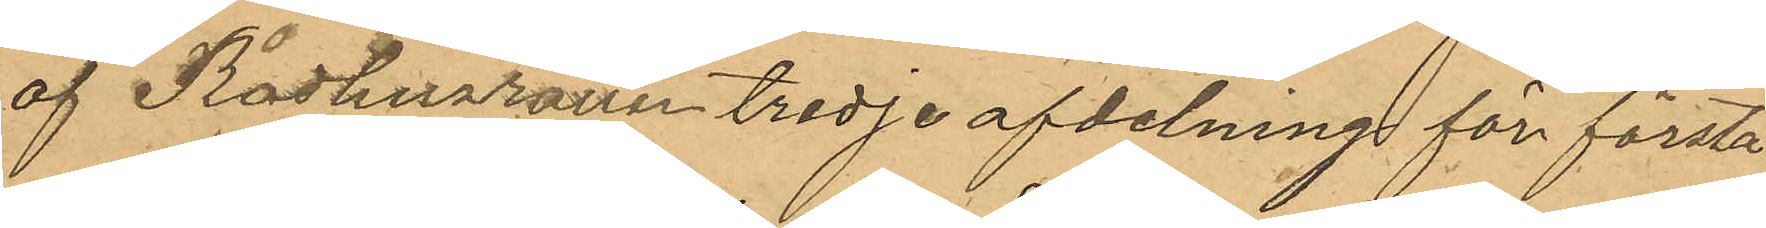af Rådhusrättens tredje afdelning för första
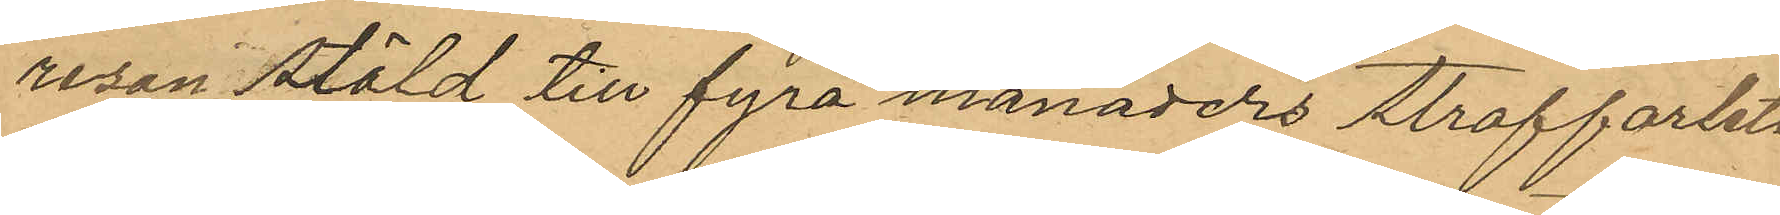resan stöld till fyra månaders straffarbete
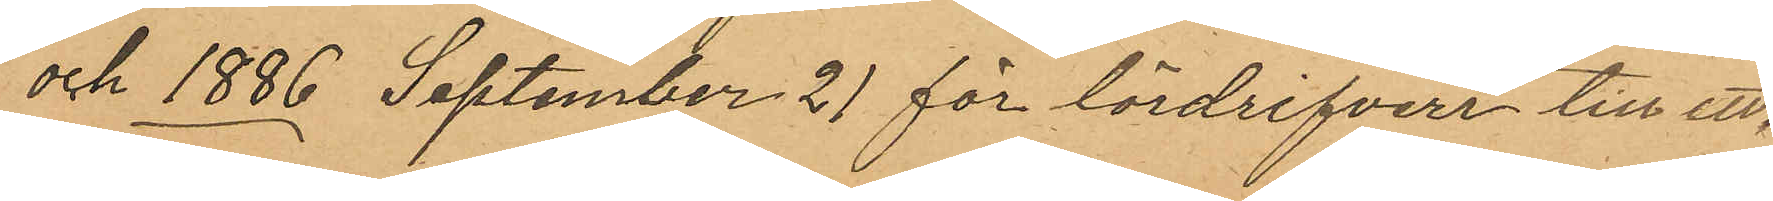och 1886 September 21 för lösdrifveri till ett
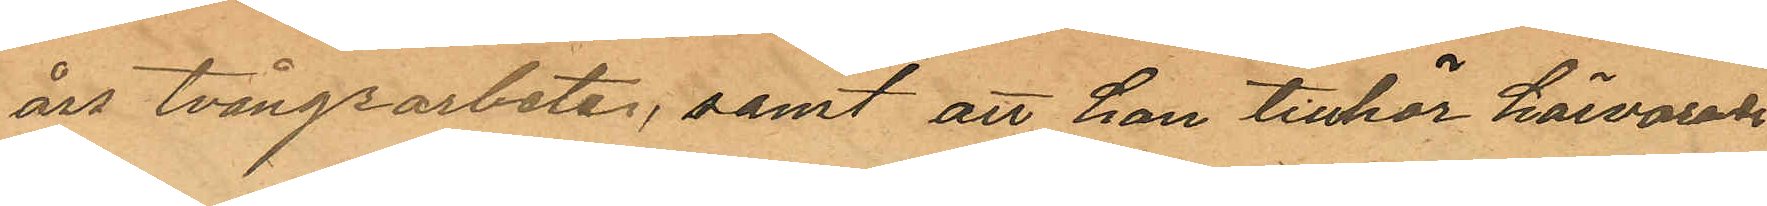års tvångsarbete, samt att han tillhör härvarande
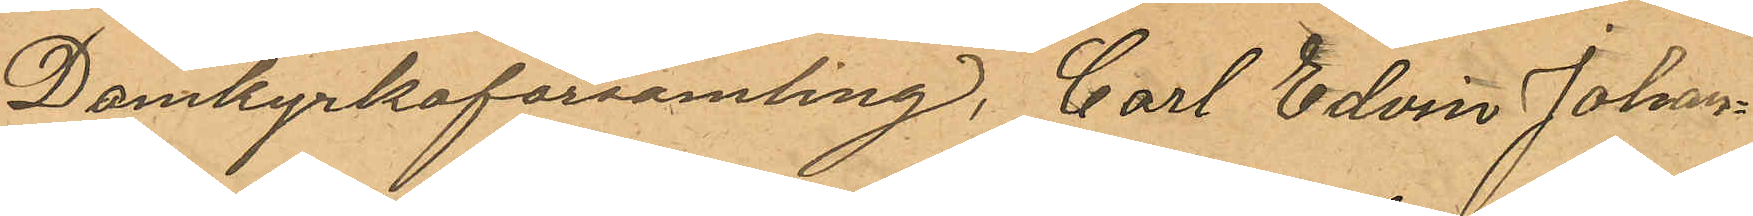Domkyrkoförsamling, Carl Edvin Johans¬
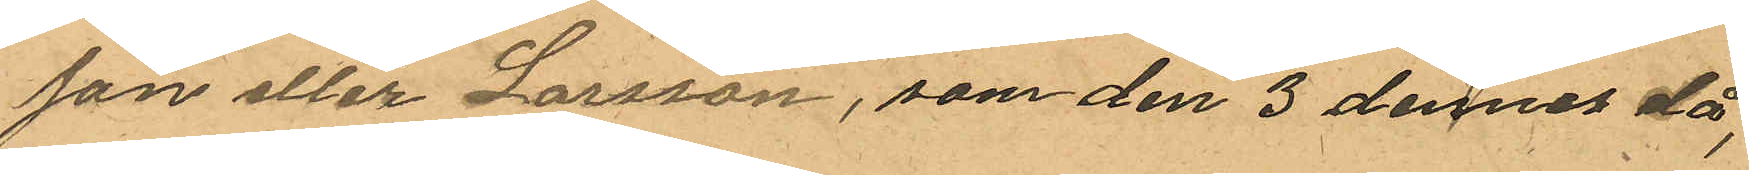son eller Larsson, som den 3 dennes då,
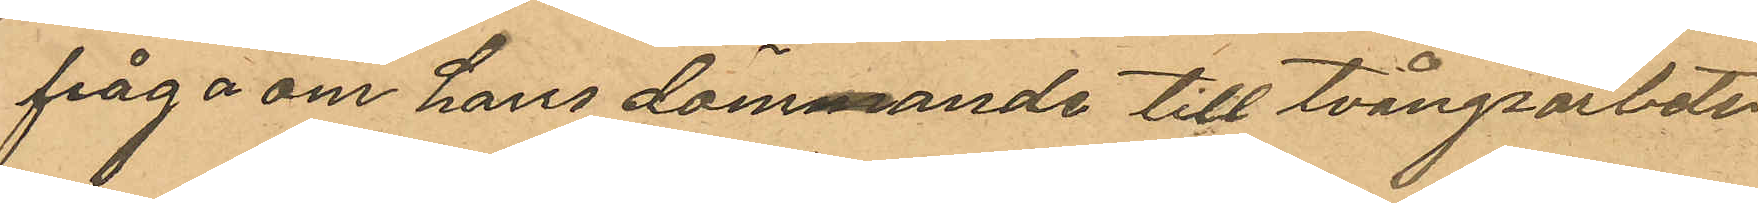frågan om hans dömmande till tvångsarbete
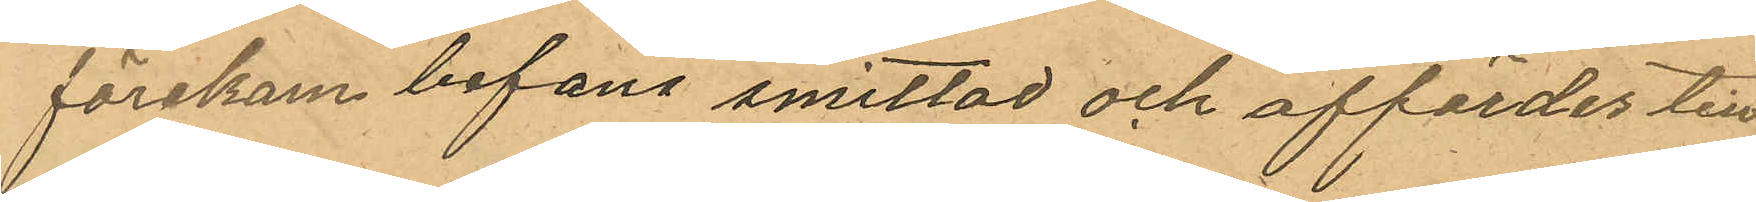förekom befans smittad och affördes till
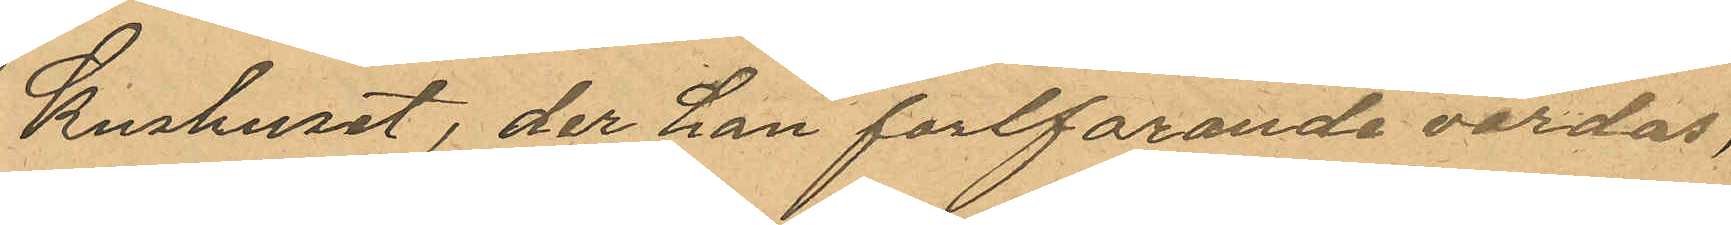Kurhuset, der han fortfarande vårdas,
